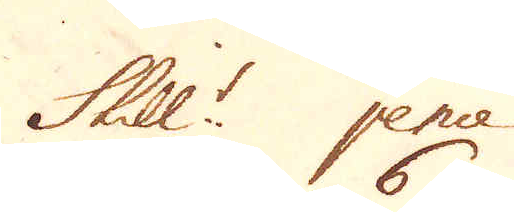Skill:r pence
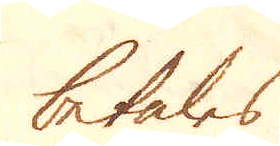betales
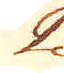2 6
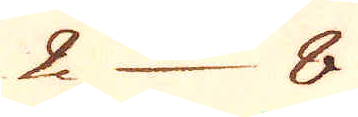2 8
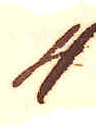4
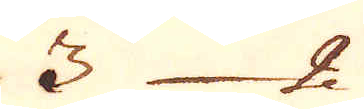3 2
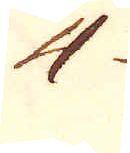4
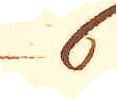6
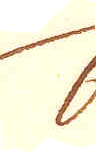6
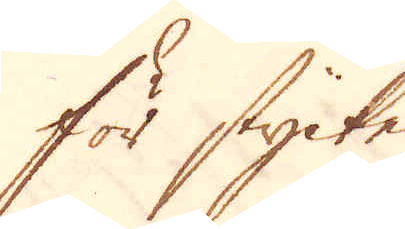För stycke.
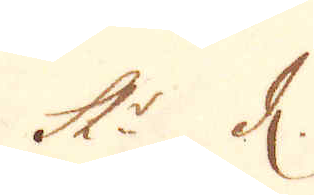Sk:r d.
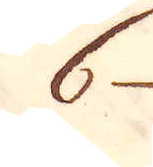6
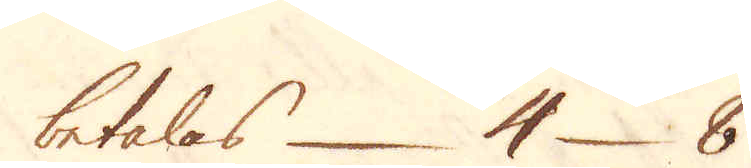betalas 4 8
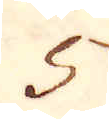5
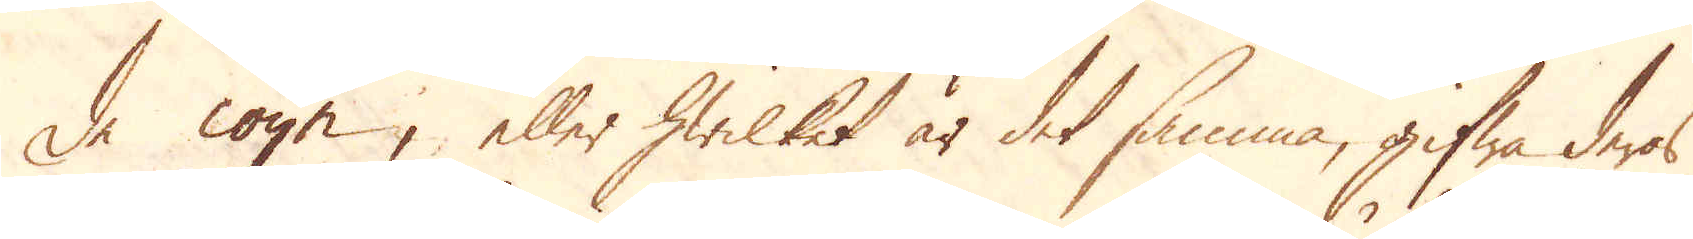de coyn, eller hwilket är det samma, gifwa deras
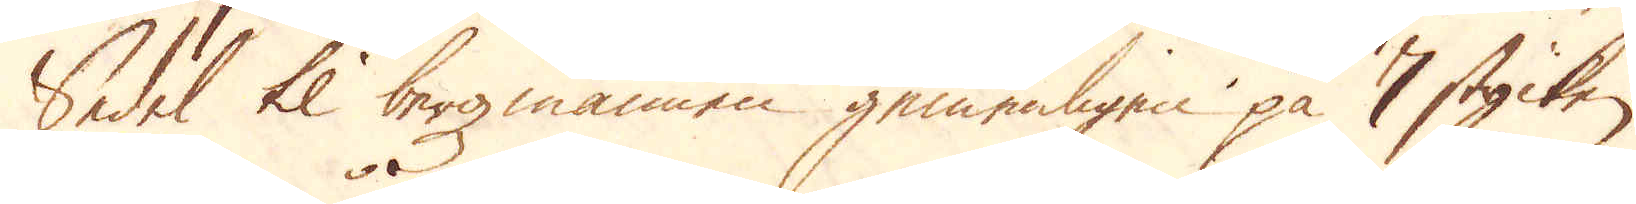Sedel til bergzmannen gemenligen på 7 stycken
